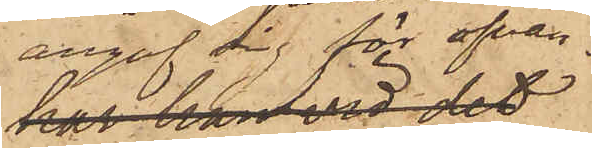angaf sig för ofvan¬
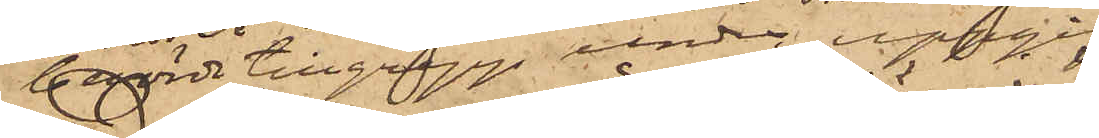berörde tillgrepp under uppgift,
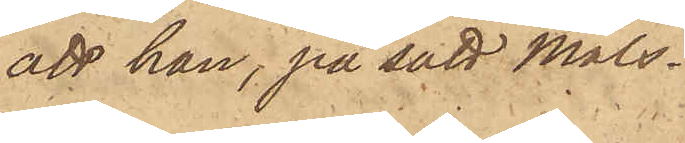att han, på sätt måls¬
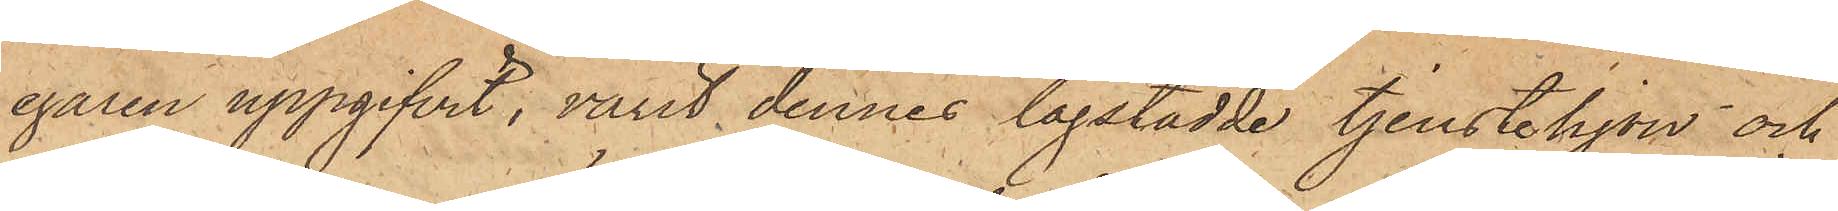egaren uppgifvit, varit dennes lagstadde tjenstehjon och
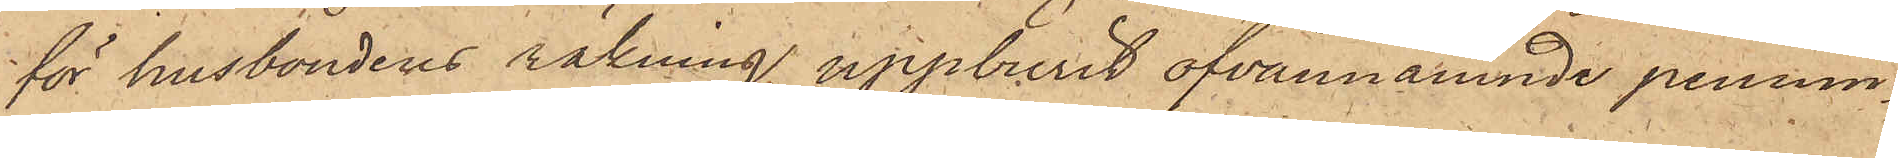för husbondens räkning uppburit ofvannämnde pennin¬
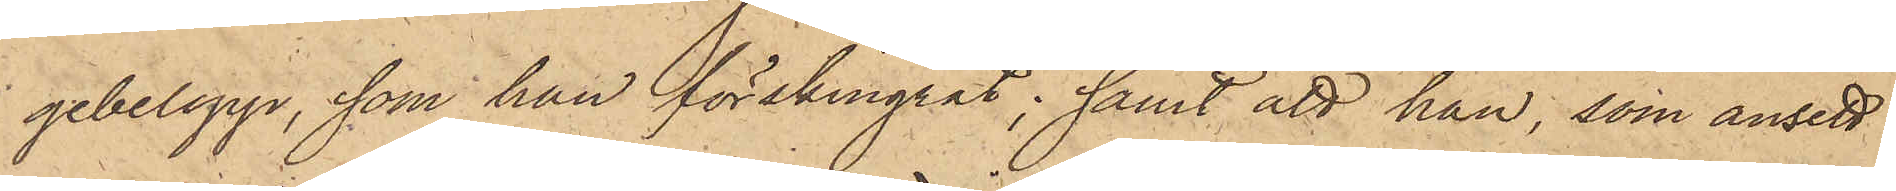gebelopp, som han förskingrat; samt att han, som ansett
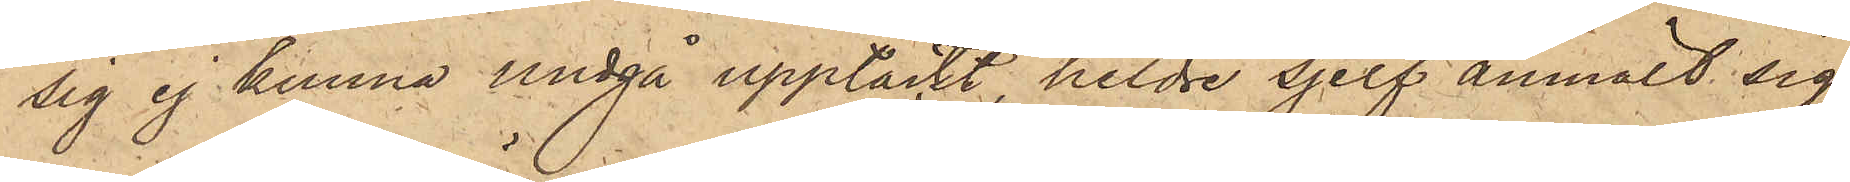sig ej kunna undgå upptäckt, heldre sjelf anmält sig
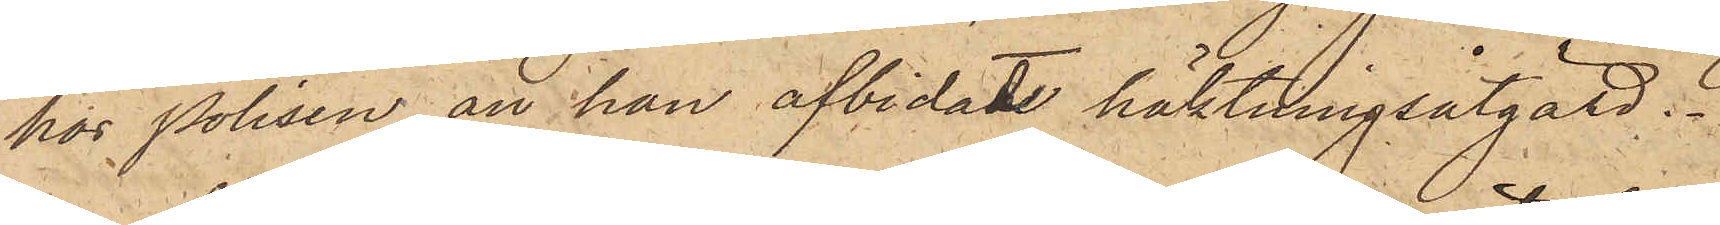hos Polisen, än han afbidadt häktningsåtgärd.
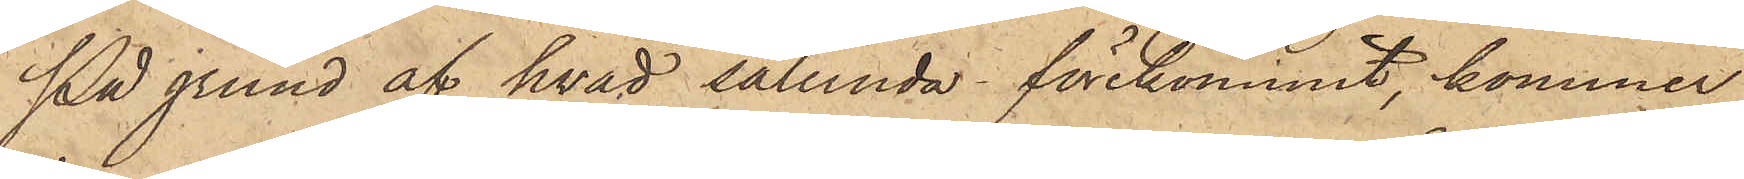På grund af hvad sålunda förekommit, kommer
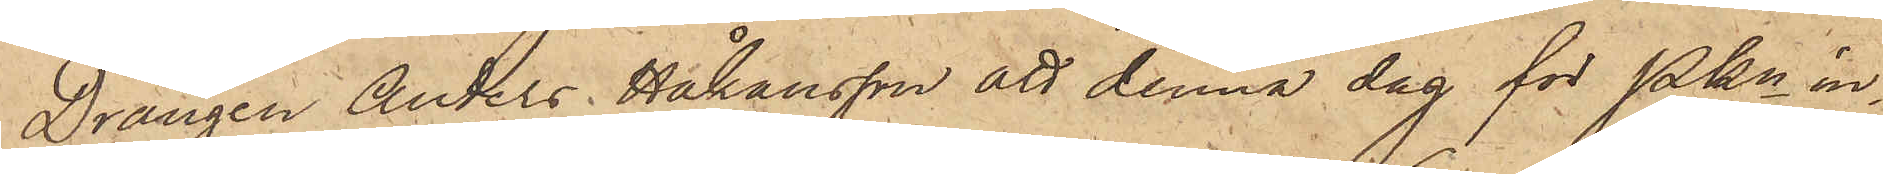Drängen Anders Håkansson att denna dag för Pkn in¬
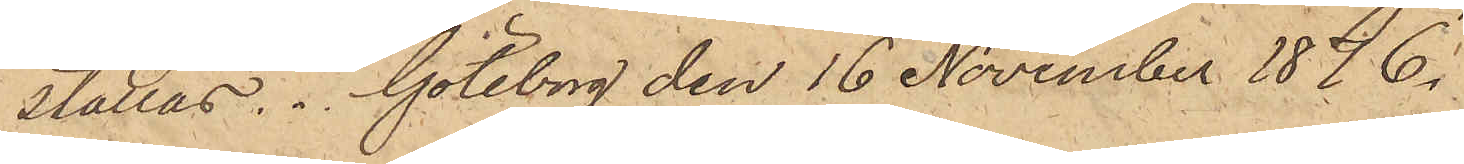ställas. Göteborg den 16 November 1876.
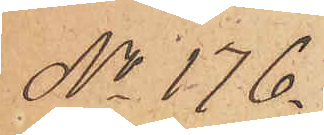No 176.
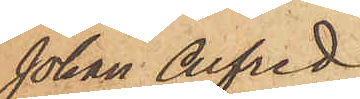Johan Alfred
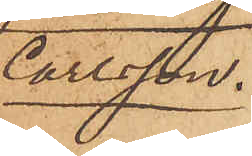Carlsson.
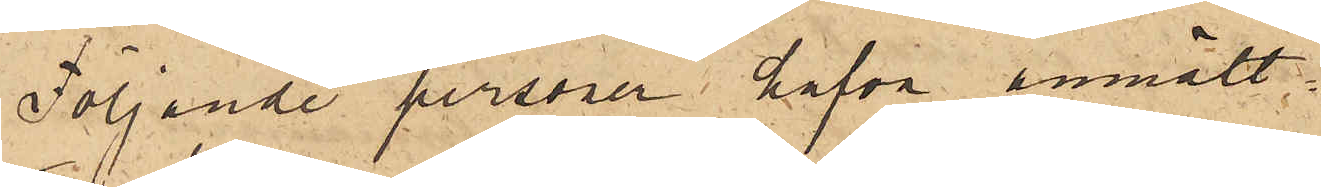Följande personer hafva anmält:
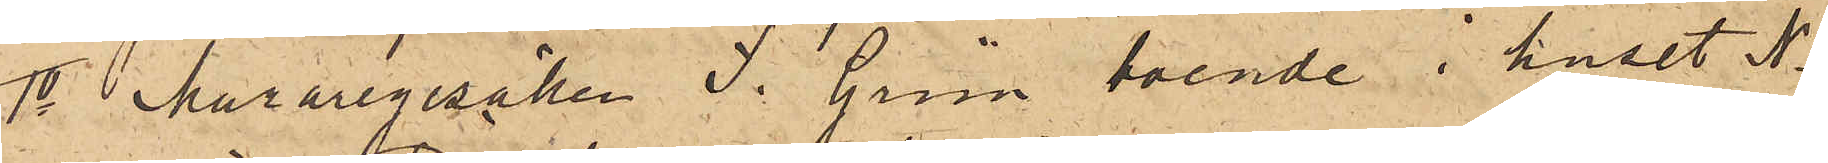1o Muraregesällen J. Grön,  boende i huset No
